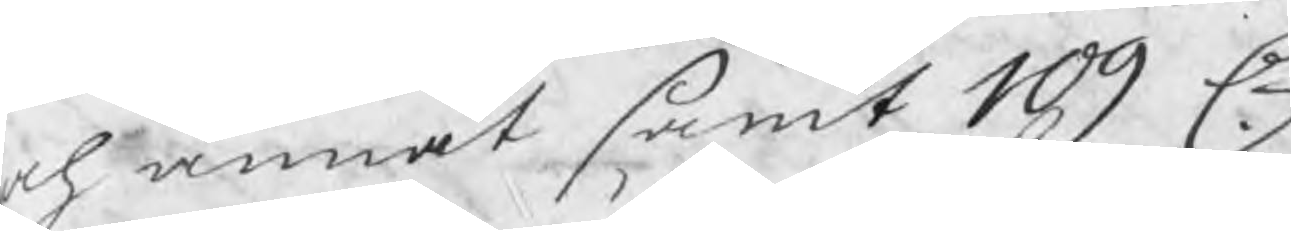och annat samt 109 C
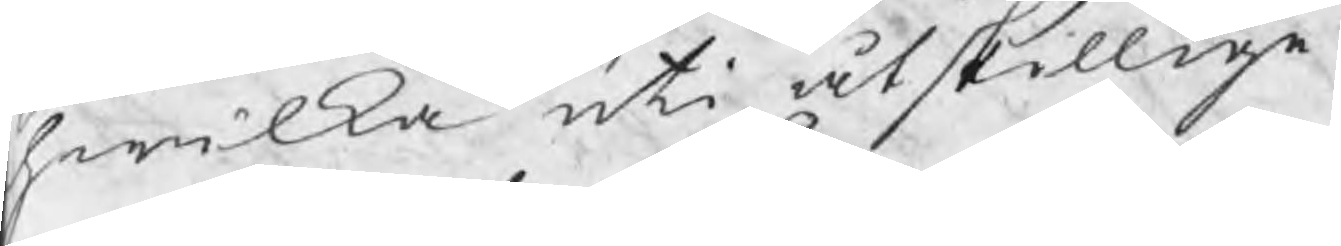hwilka uti åtskillige
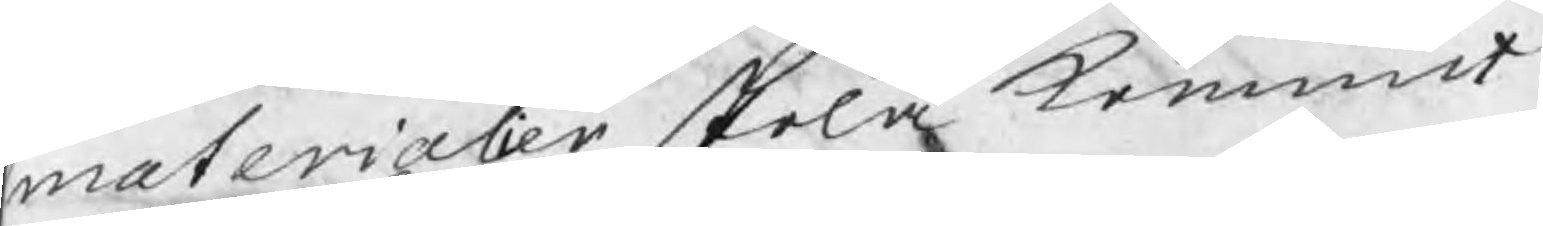materialier skola kommit
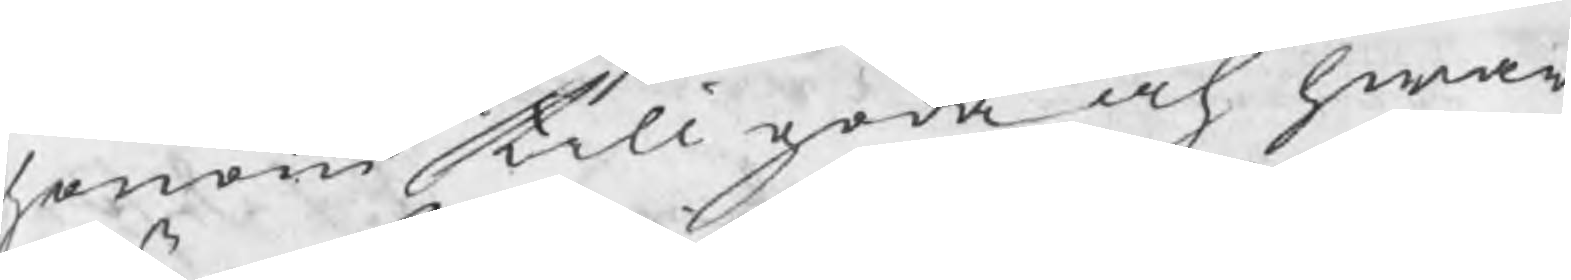honom till goda och hwar
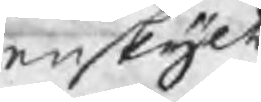enskijlt
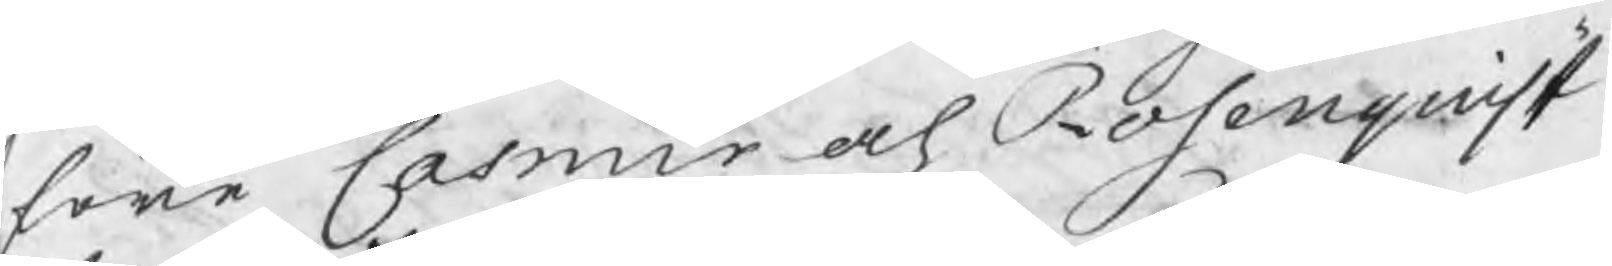före Casmir och Rosenquist
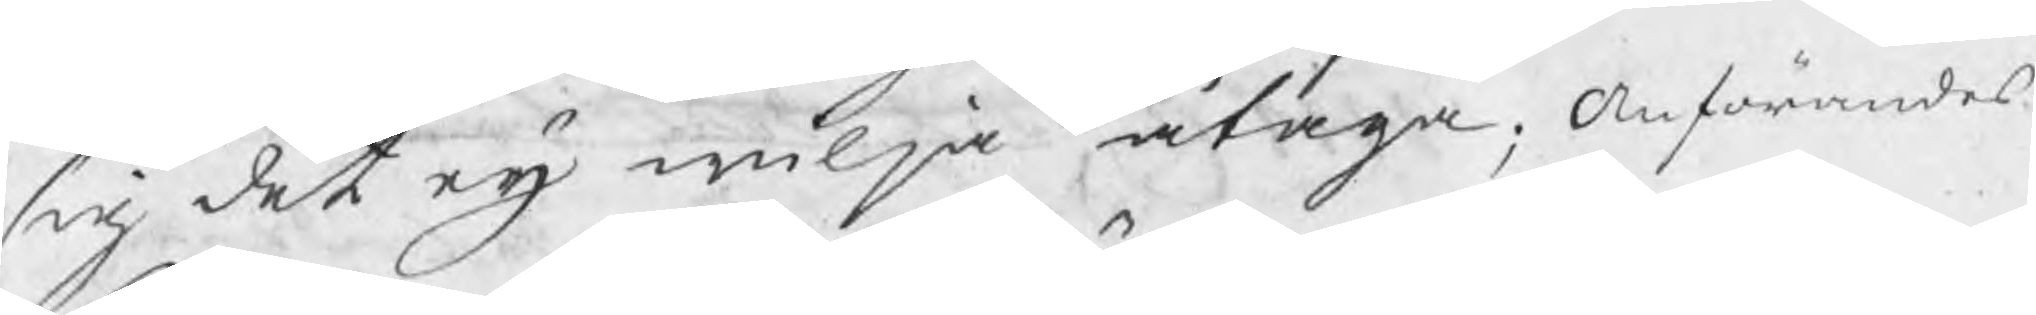sig det eij wilja åtaga; Anförandes
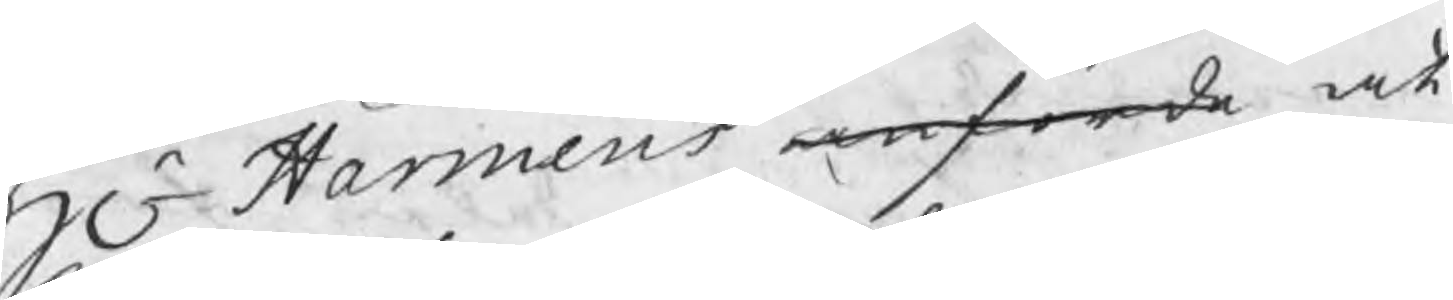Hr Harmens anförde at
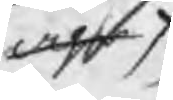aghr
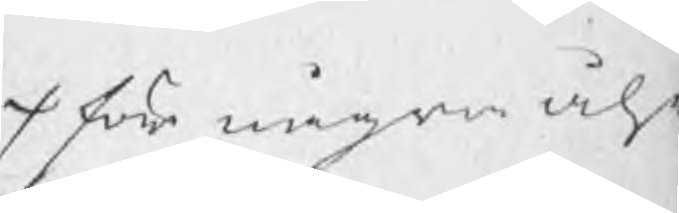/ för några åhr
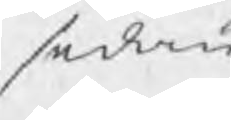sedan
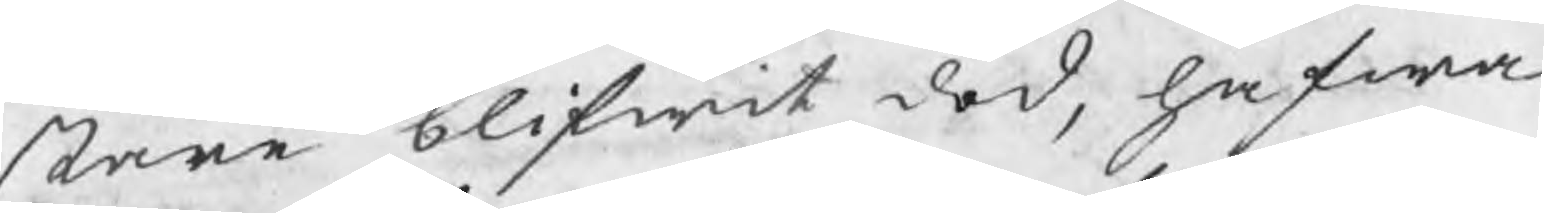stare blifwit död, hafwa
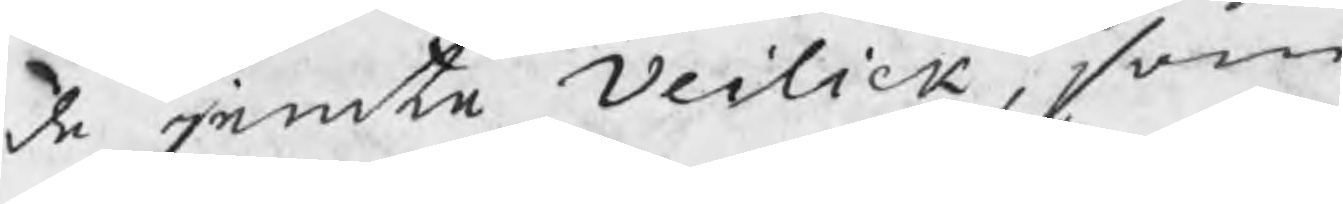de jemte Veilick, som
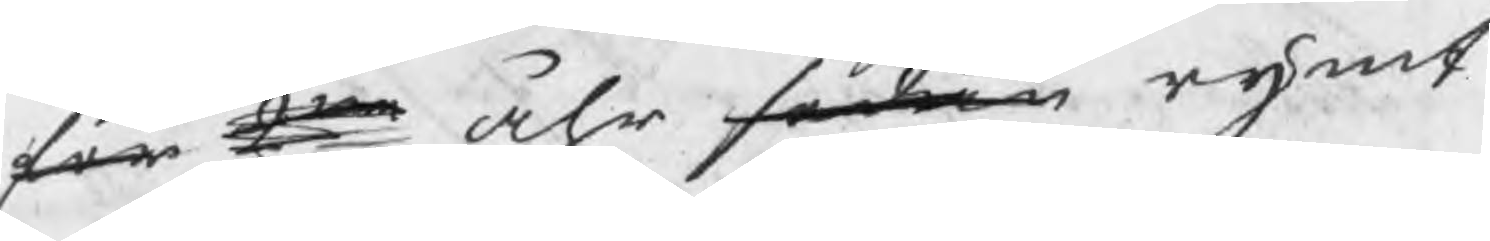för 2ne åhr sedan rymt
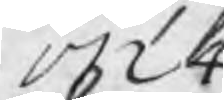1724
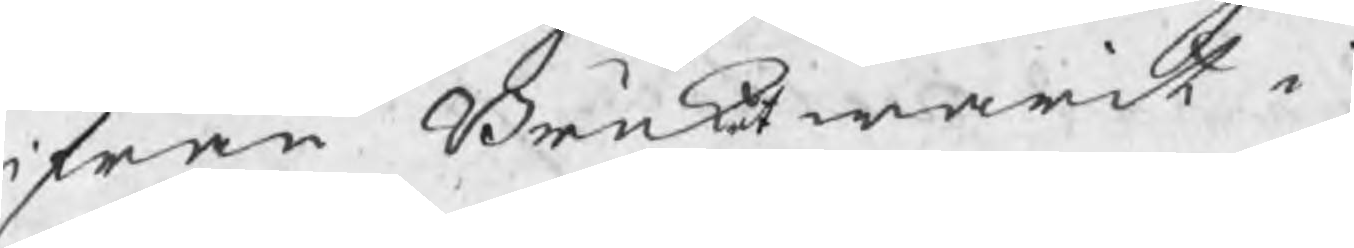ifrån Bruket warit i
